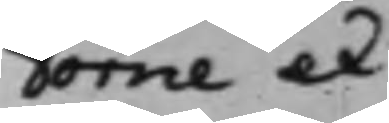Törne et
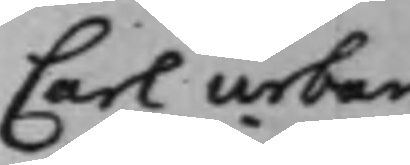Carl Urban
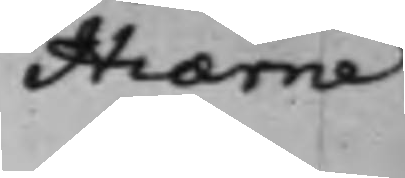Hiærne.
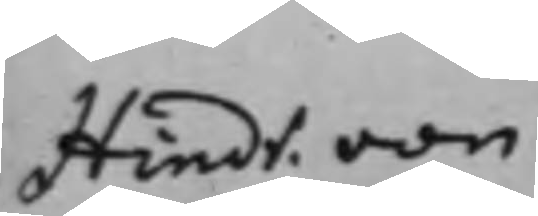Hindr. von
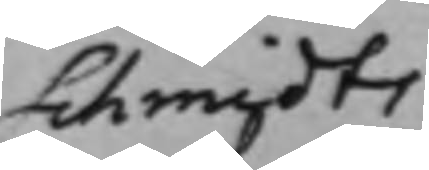Schmidts
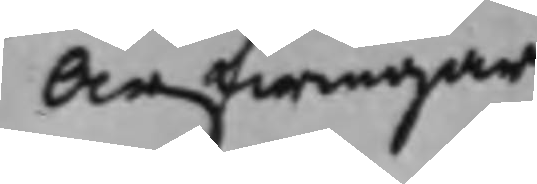Arfwingar
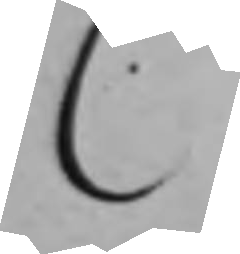C.
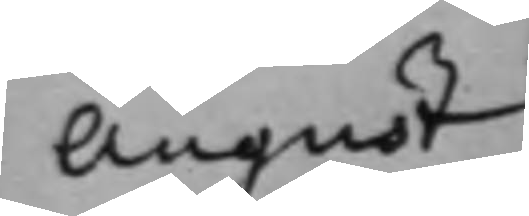August
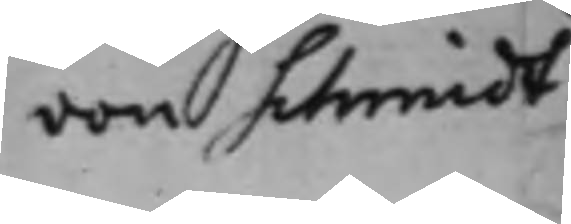von Schmidt.
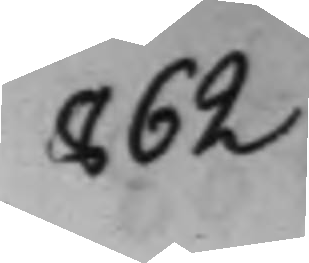862
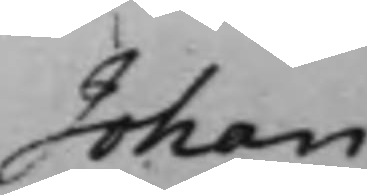Johan
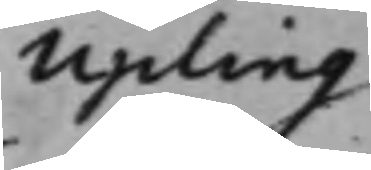Upling
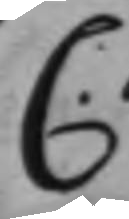C.
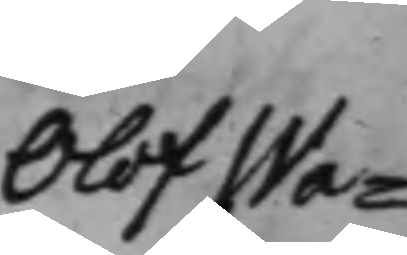Olof Wa¬
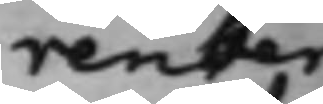renberg
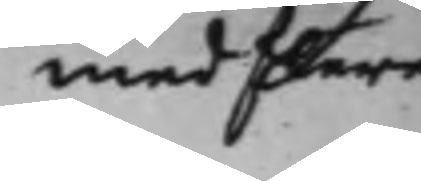med flere
